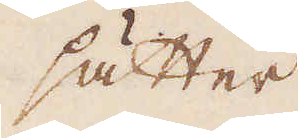sätter
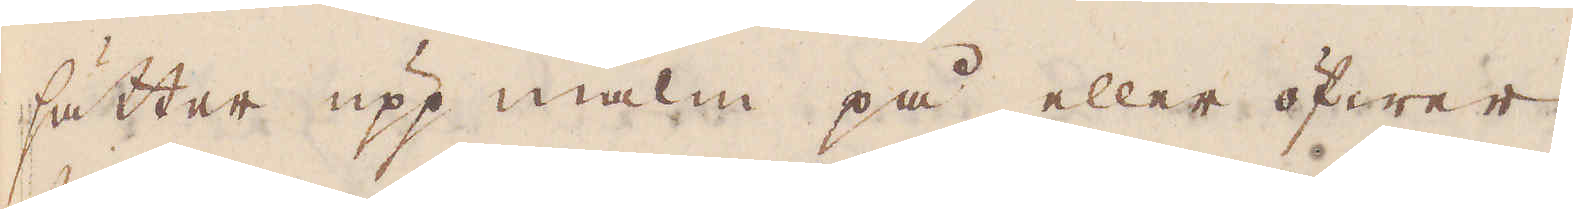sätter upp malm på eller öfwer
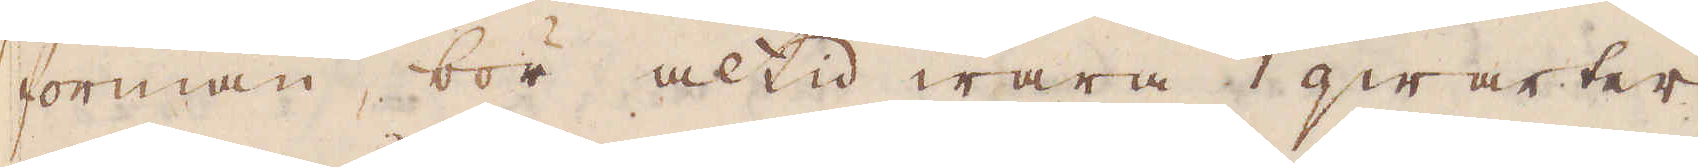forman, bör altid wara 1 qwarter
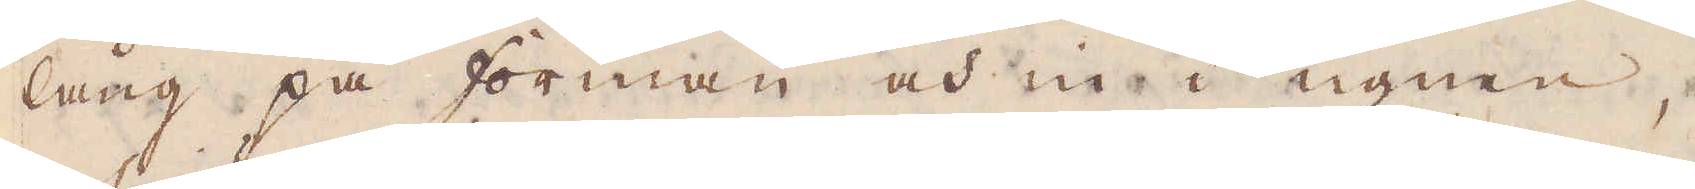lång på forman och in i ugnen,
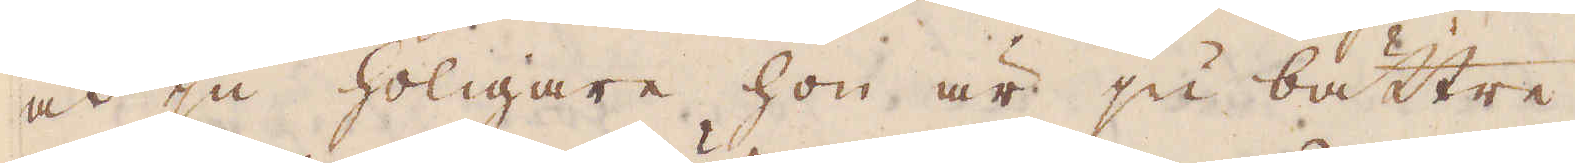och ju holigare hon är ju bättre.
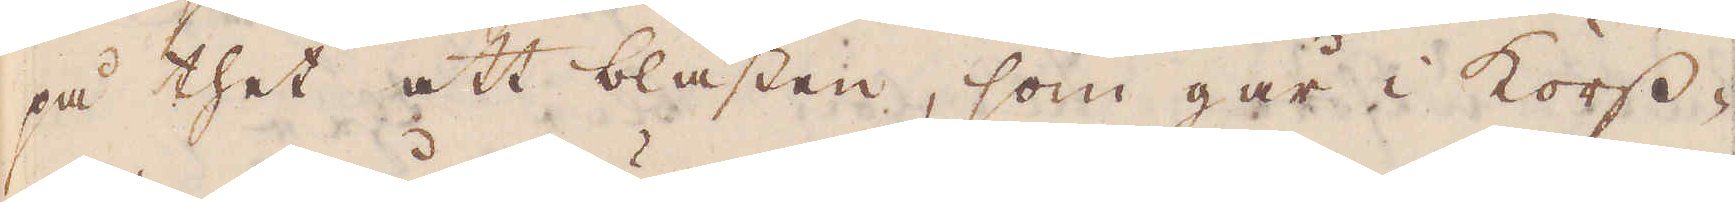på thet att blästen, som går i kors-
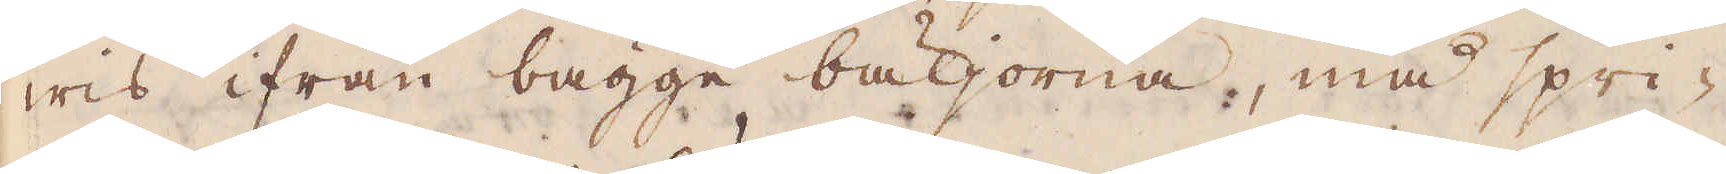wis ifrån bägge bäljorna, må spri-
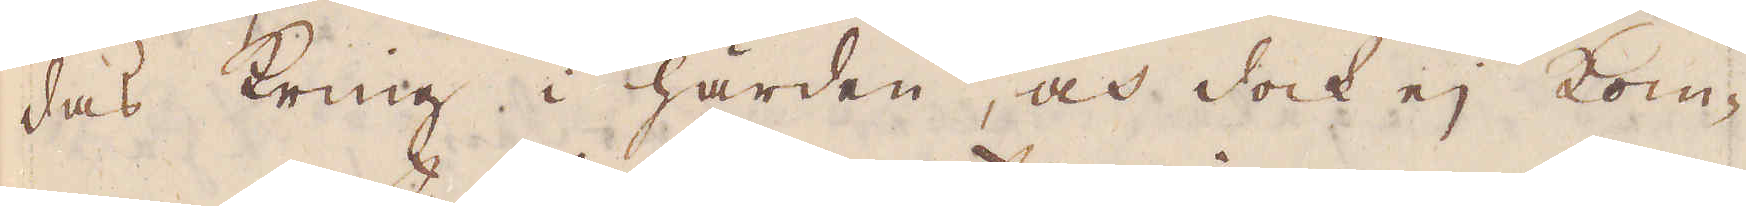das kring i härden, och dock ej kom-
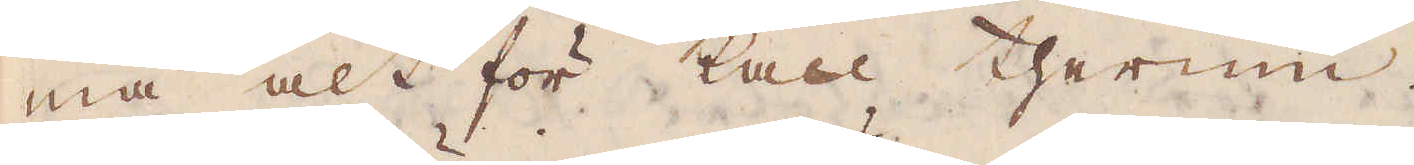ma alt för kall therine.
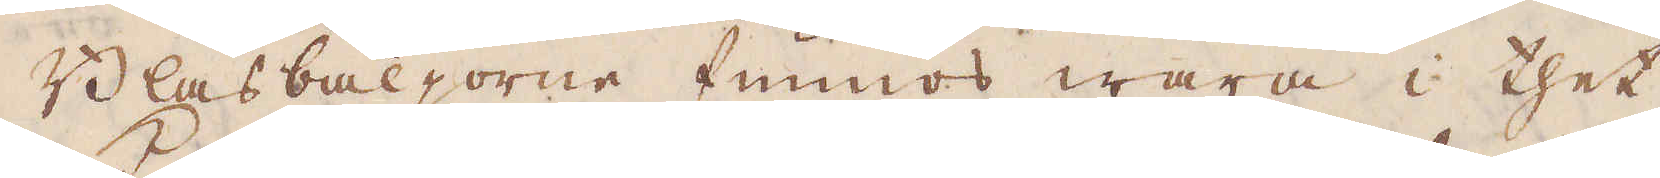Blåsbäljorne funnos wara i thet
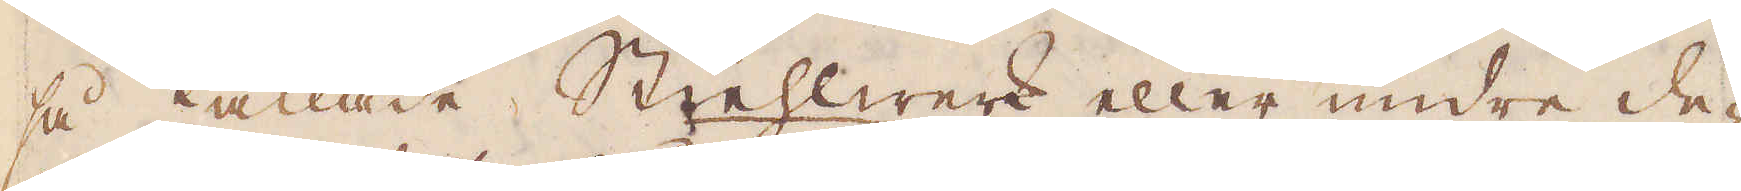så kallade Stiehlwerk eller undre de-
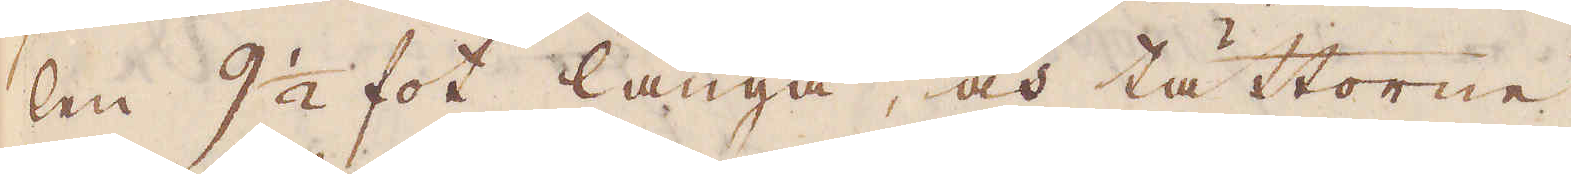len 9 1/2 fot långa, och tättorne
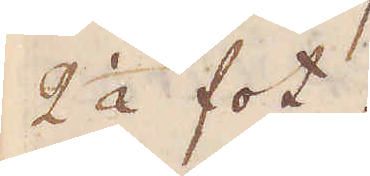2 1/2 fot.
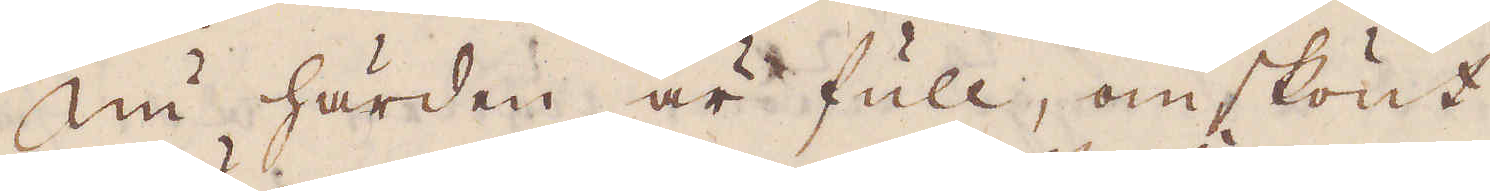Nu härden är full, omskönt
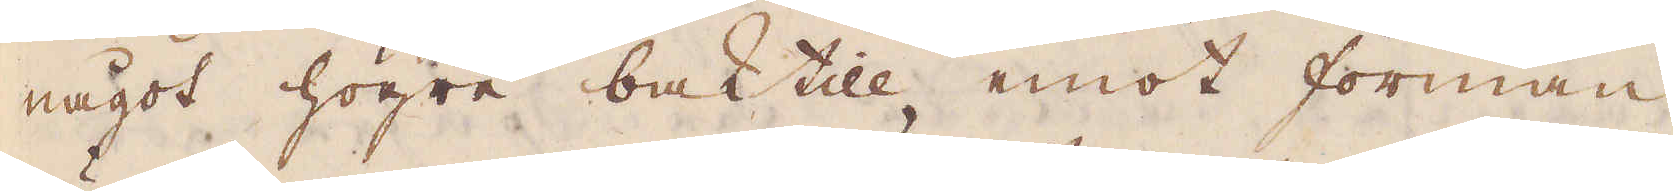något högre baktill emot forman
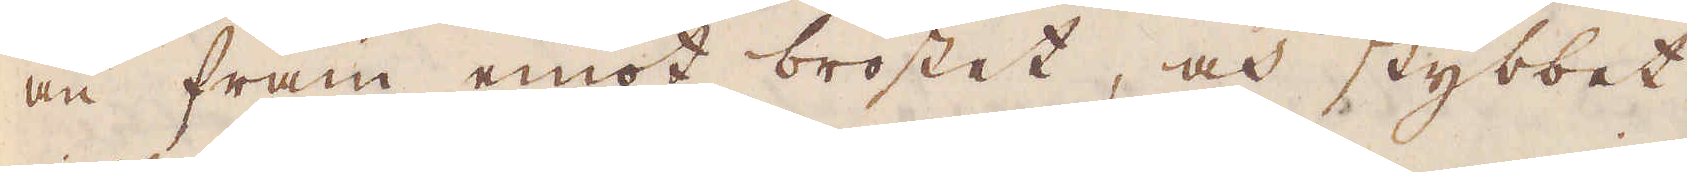än fram emot bröstet, och stybbet
